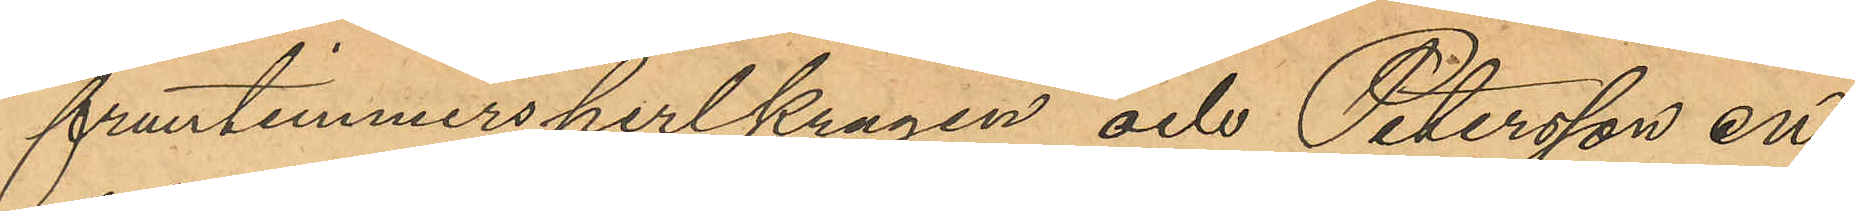fruntimmersperlkragen och Petersson en
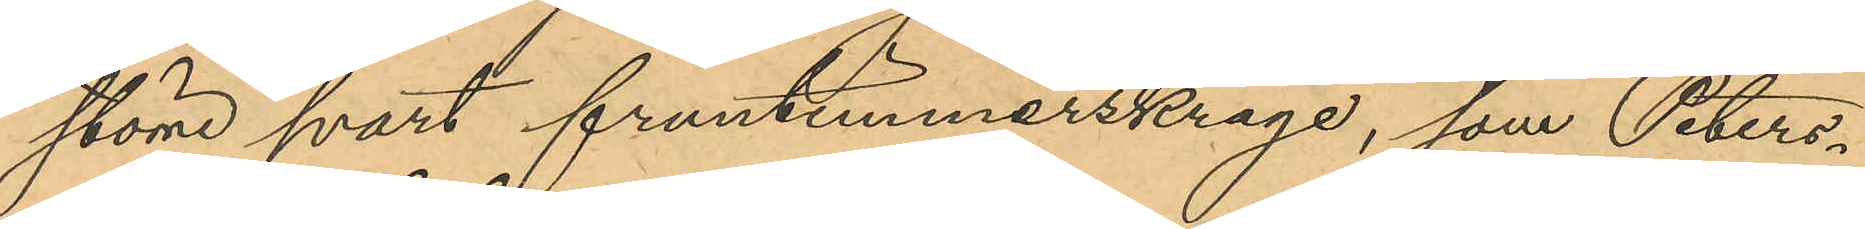större svart fruntimmerskrage, som Peters¬
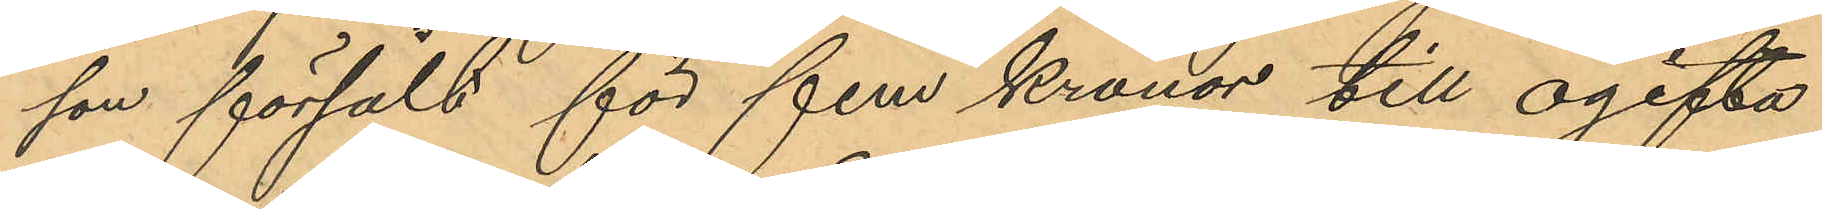son försålt för fem kronor till ogifta
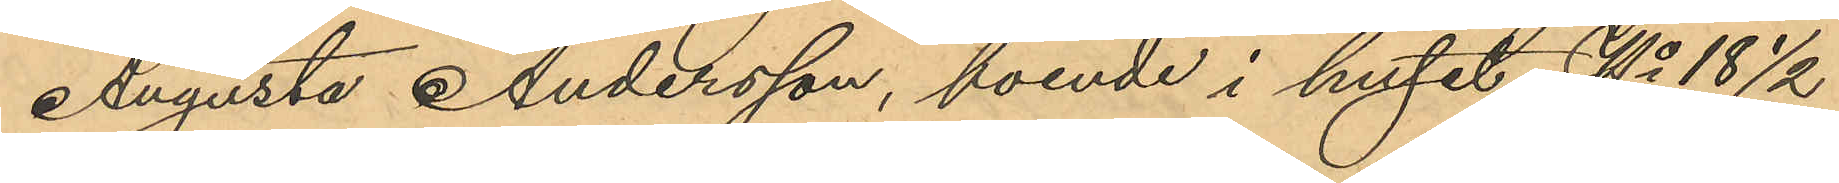Augusta Andersson, boende i huset No 18 ½
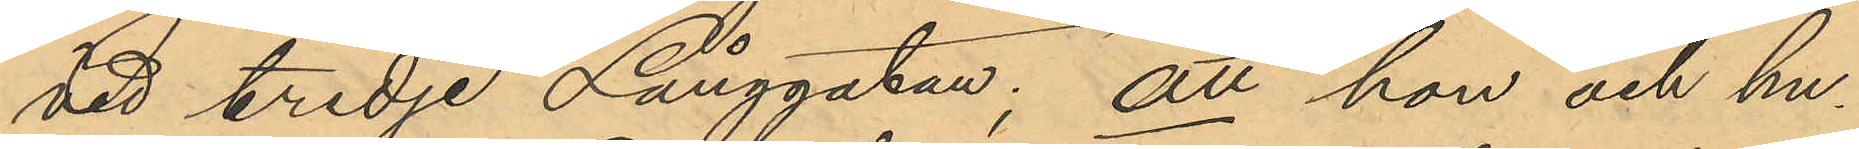vid tredje Långgatan; att hon och hu¬
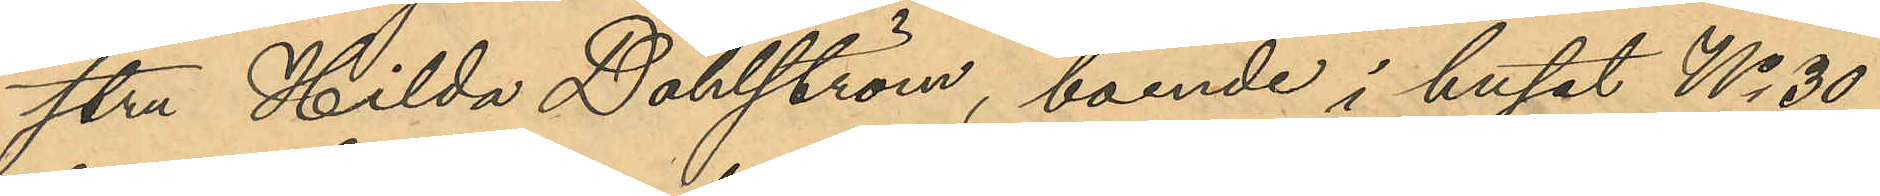stru Hilda Dahlström, boende i huset No 30
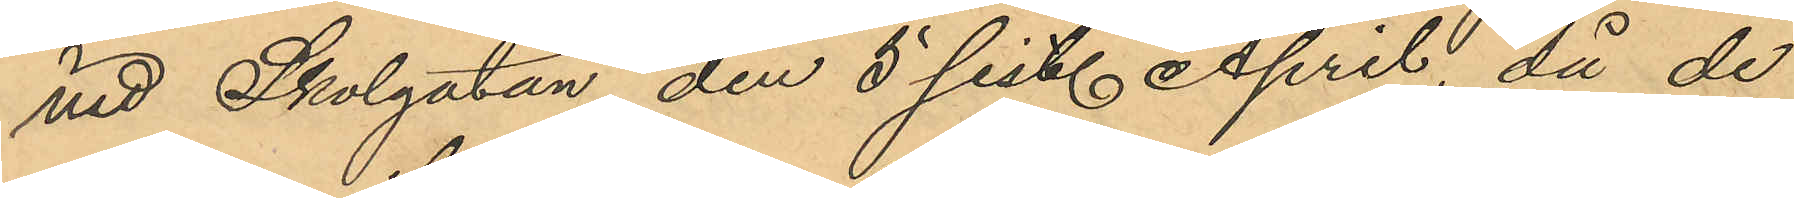vid Skolgatan den 5 sist. April, då de
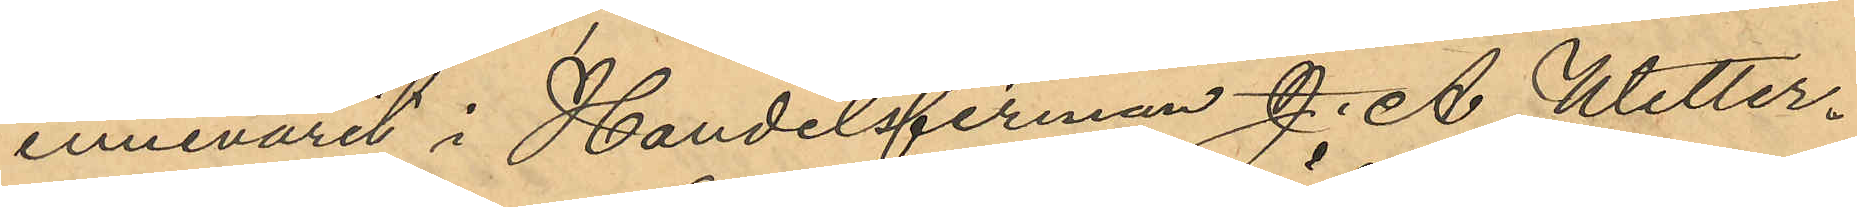innevarit i Handelsfirman J. A. Wetter¬
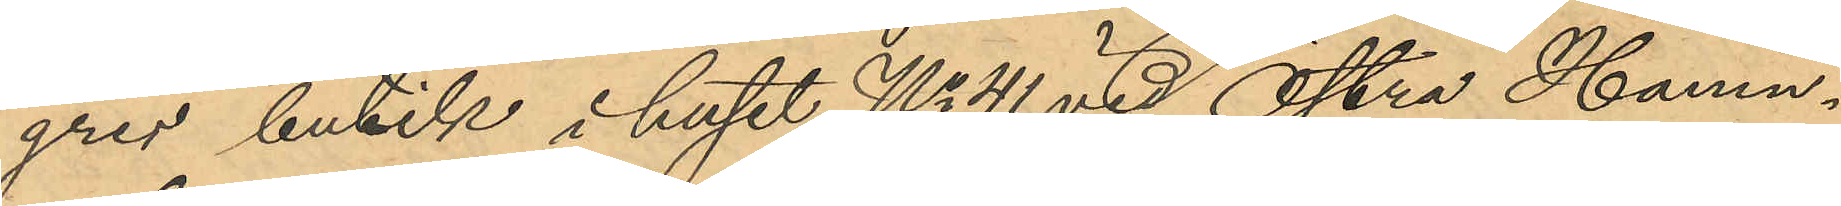grens butik i huset No 41 vid Östra Hamn¬
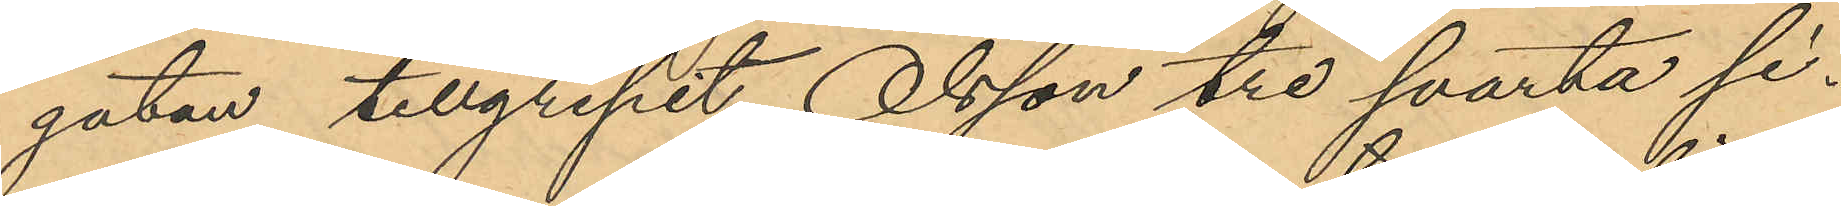gatan tillgripit, Olsson tre svarta si¬
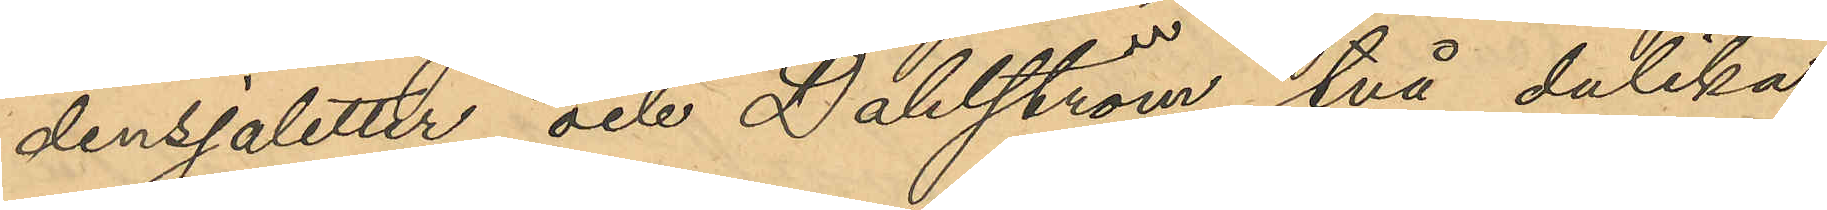densjaletter och Dahlström två dulika;
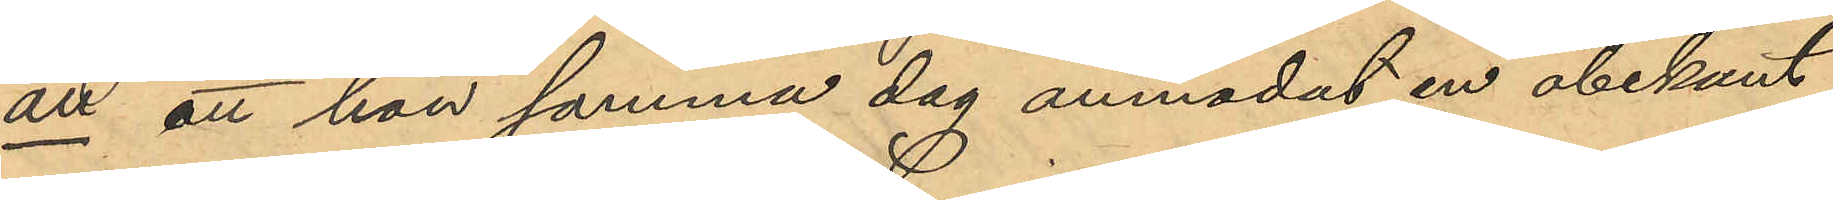att att hon samma dag anmodat en obekant
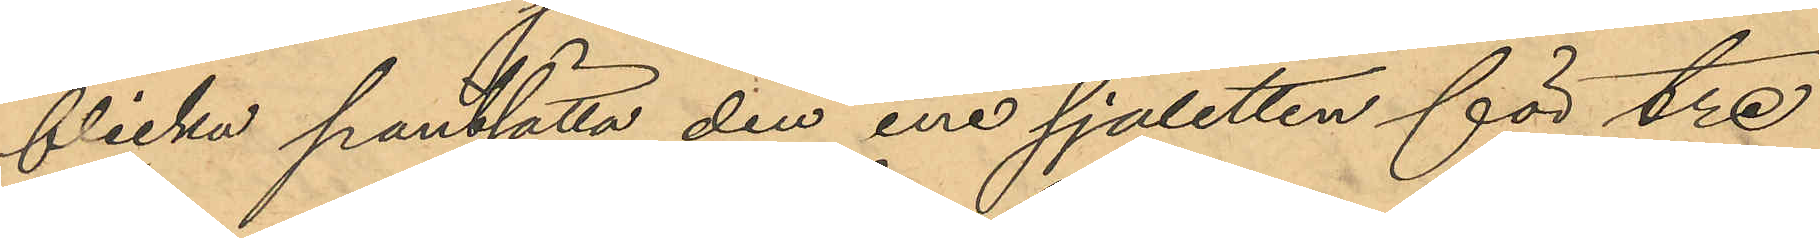flicka pantsätta den ene sjaletten för tre
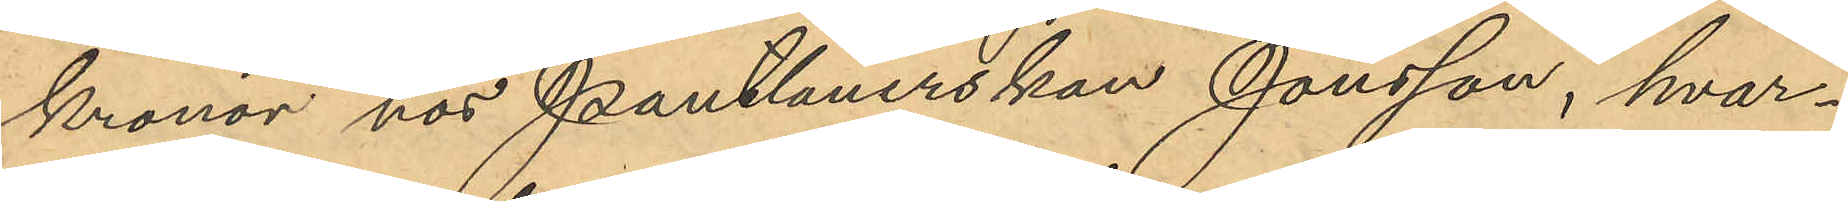kronor hos Pantlånerskan Jonsson, hvar¬
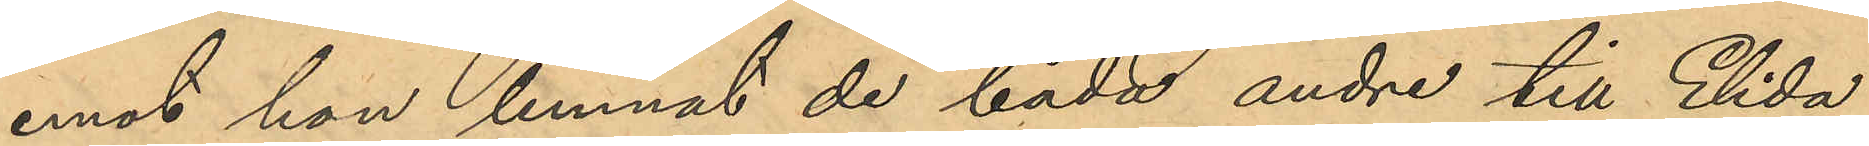emot hon lemnat de båda andre till Elida
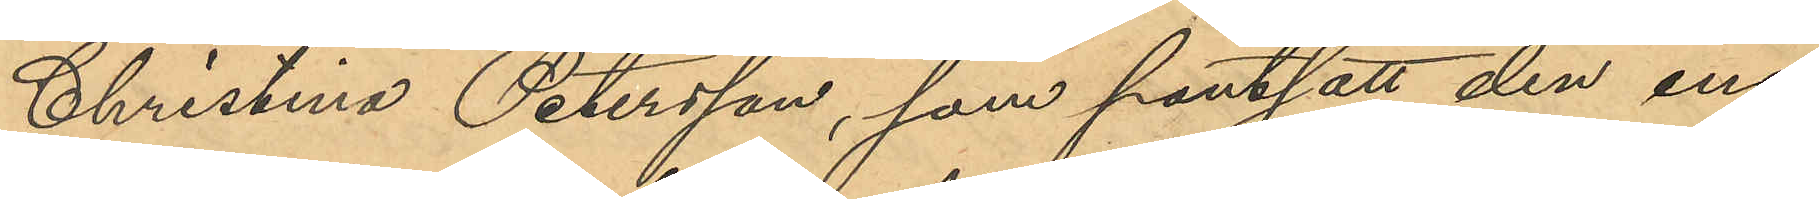Christina Petersson, som pantsatt den ene
